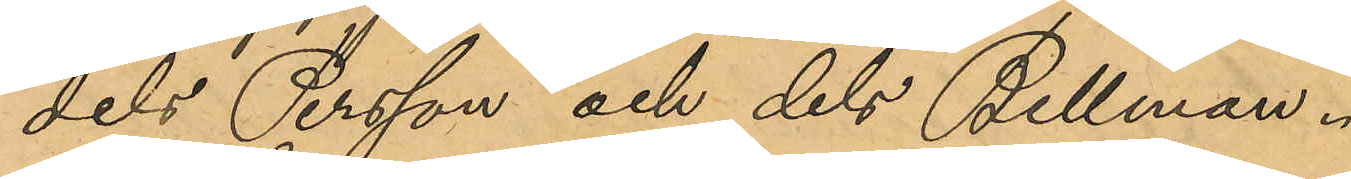dels Persson och dels Bellman.
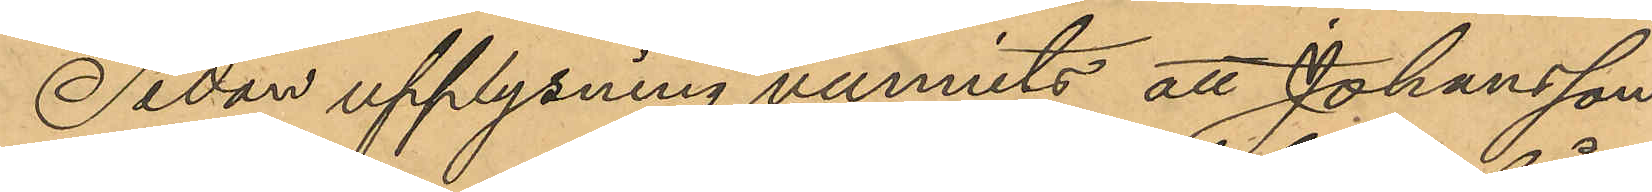Sedan upplysning vunnits, att Johansson
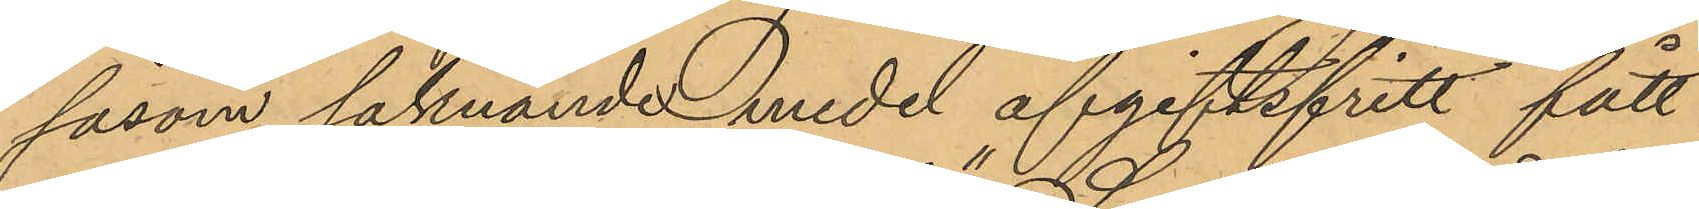såsom saknande medel afgiftsfritt fått
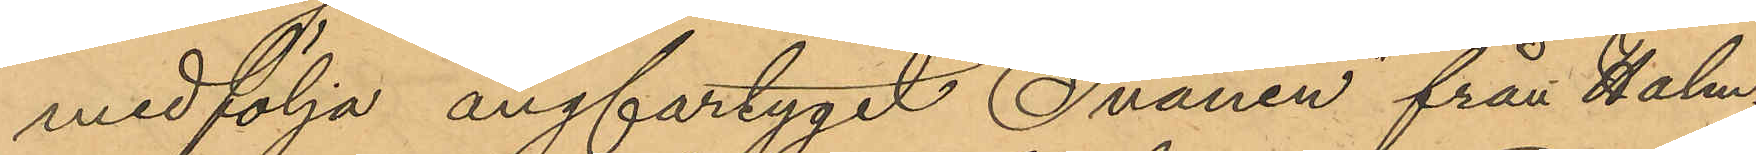medfölja ångfartyget Svanen från Halm¬
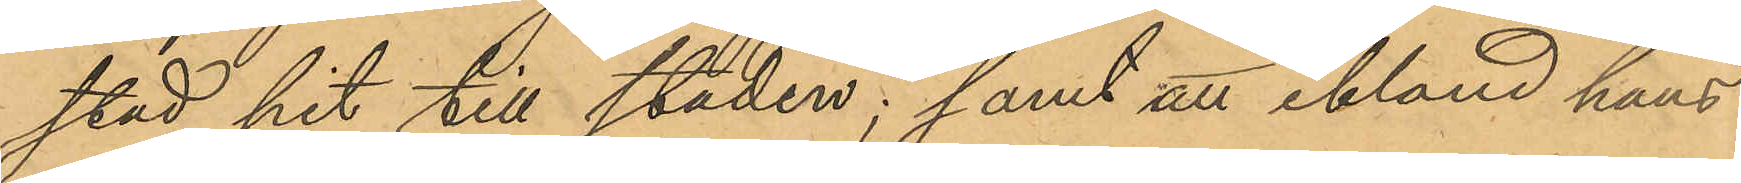stad hit till staden; samt att ibland hans
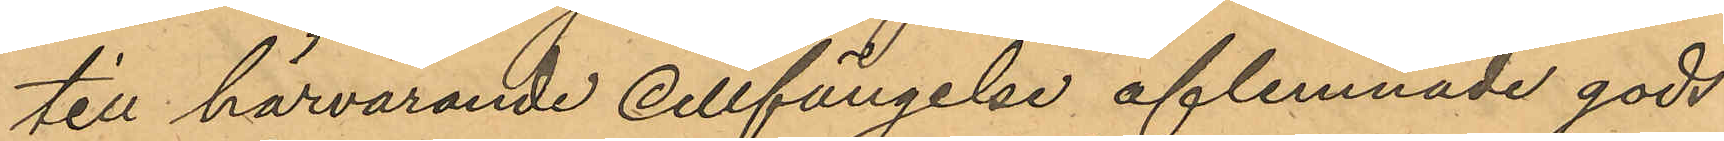till härvarande cellfängelse aflemnade gods
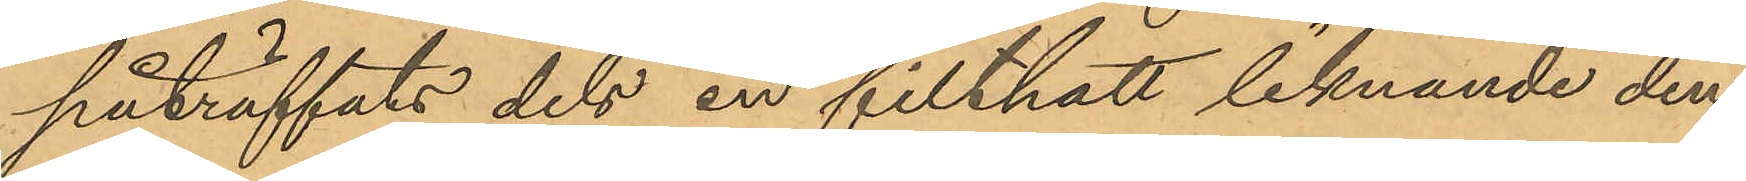påträffats dels en filthatt liknande den
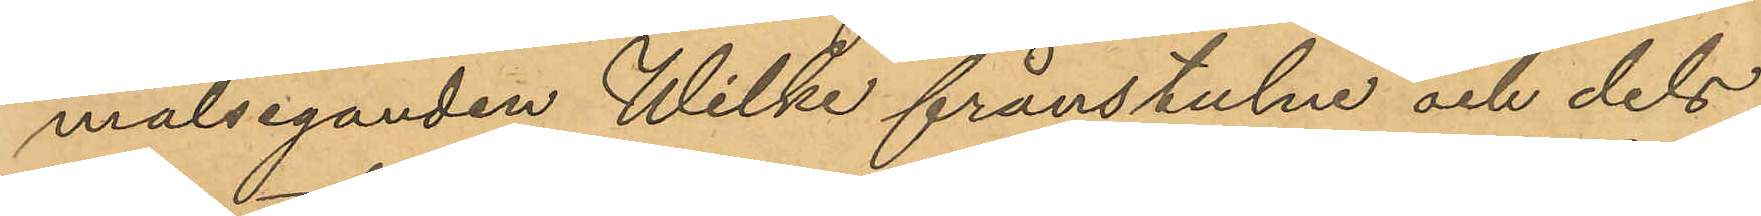målseganden Wilke frånstulne och dels
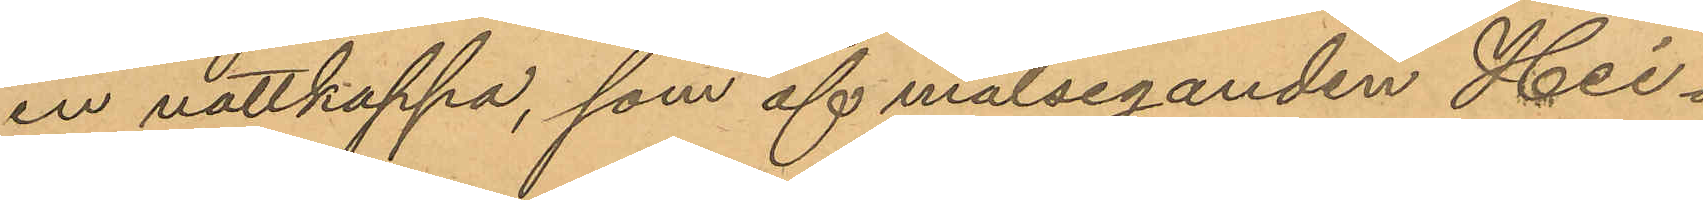en nattkappa, som af målseganden Hei¬
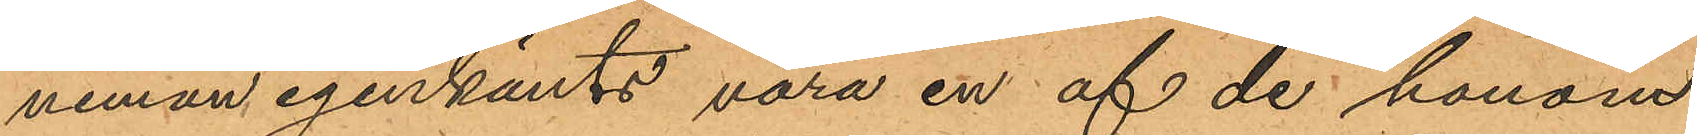neman igenkänts vara en af de honom
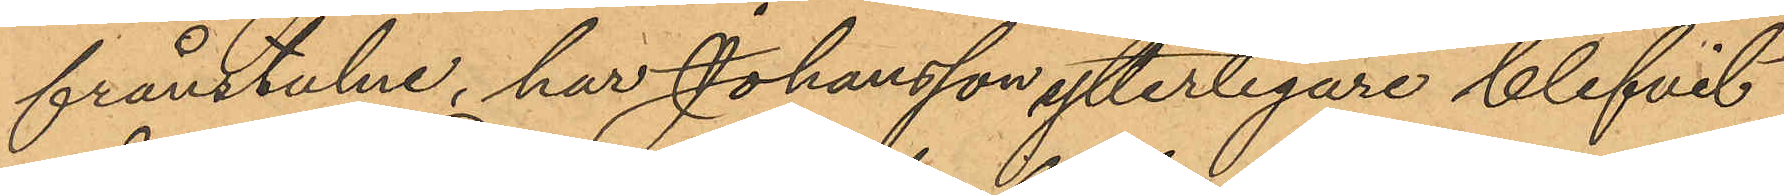frånstulne, har Johansson ytterligare blifvit
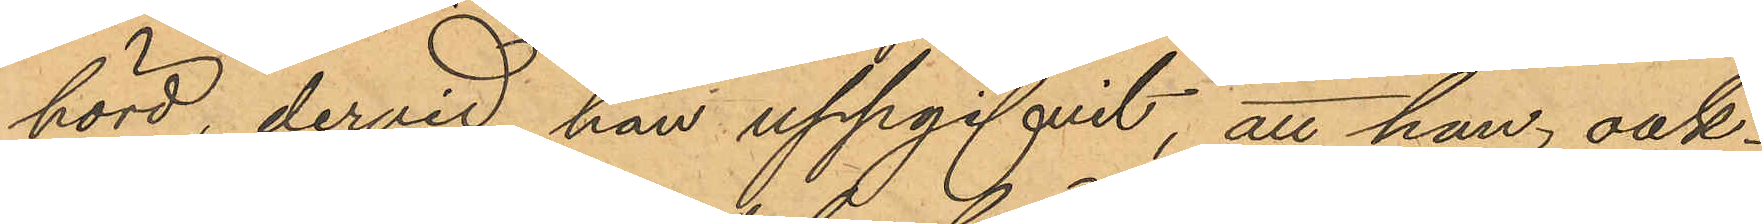hörd, dervid han uppgifvit, att han, oak¬
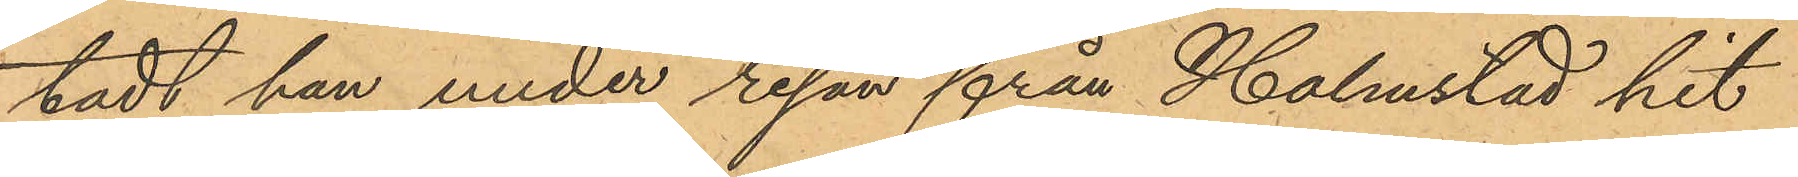tadt han under resan från Halmstad hit
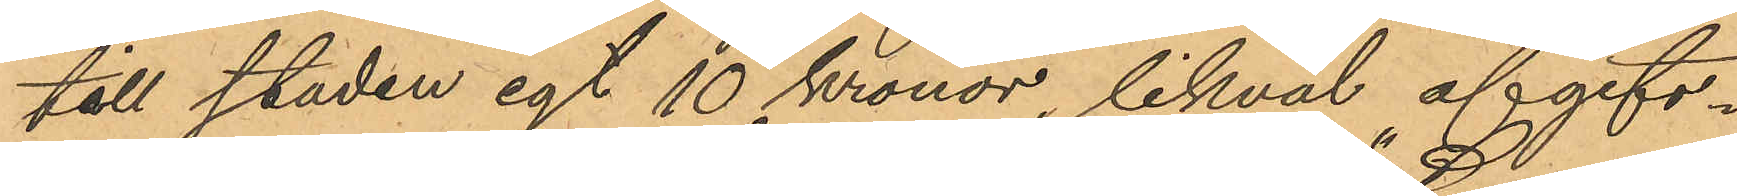till staden egt 10 Kronor, likväl afgift-
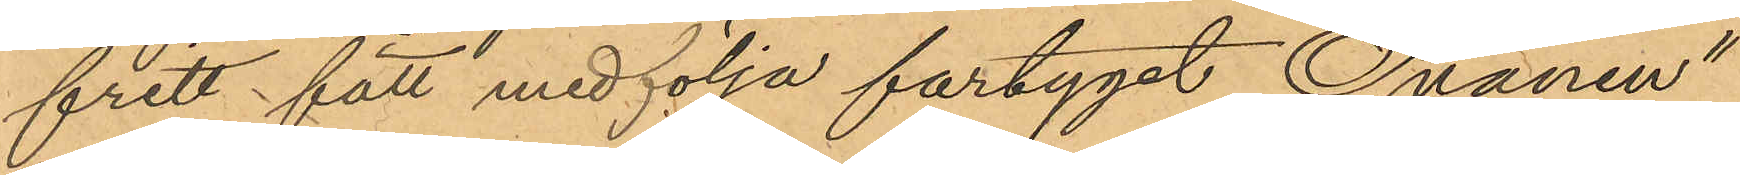fritt fått medfölja fartyget "Svanen"
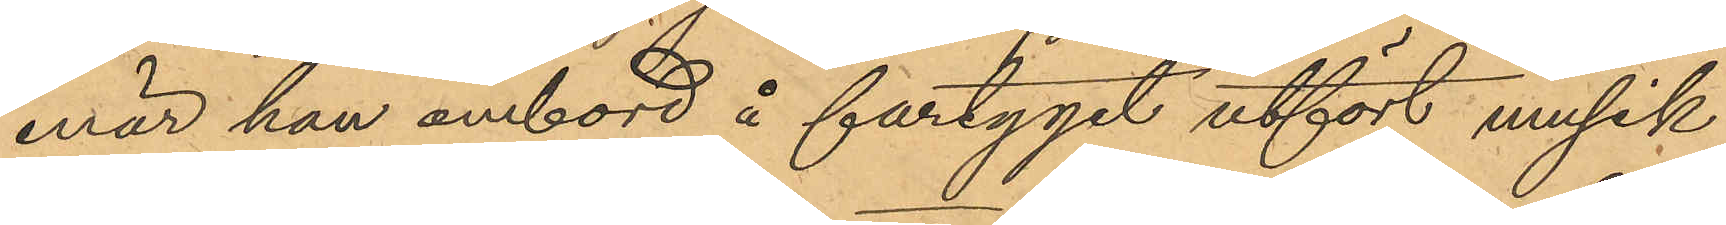enär han ombord å fartyget utfört musik
